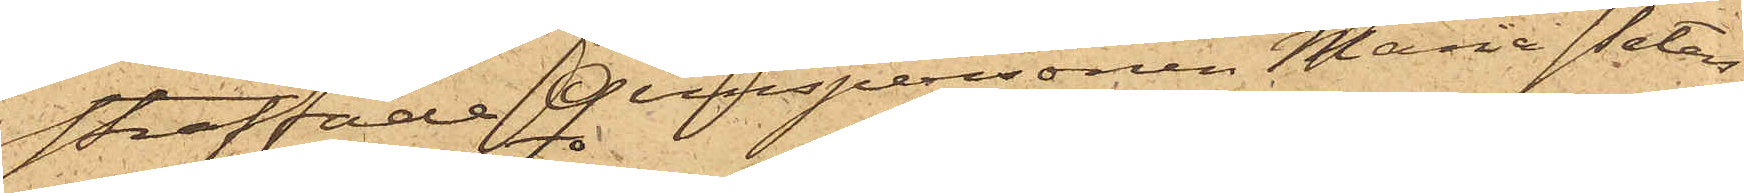straffade Qvinspersonen Maria Peters¬
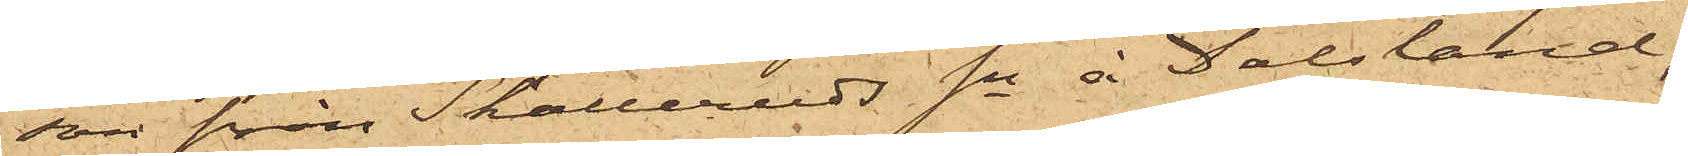son från Skålleruds Sn å Dalsland,
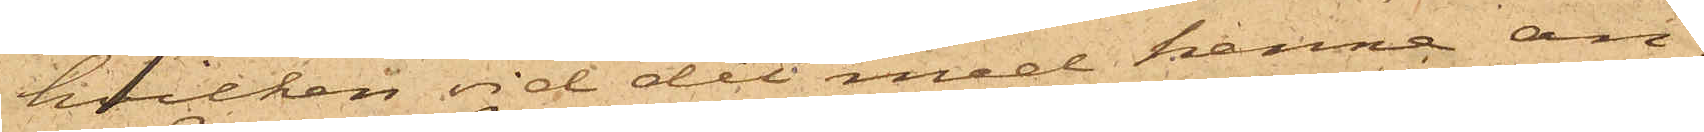hvilken vid det med henne an¬
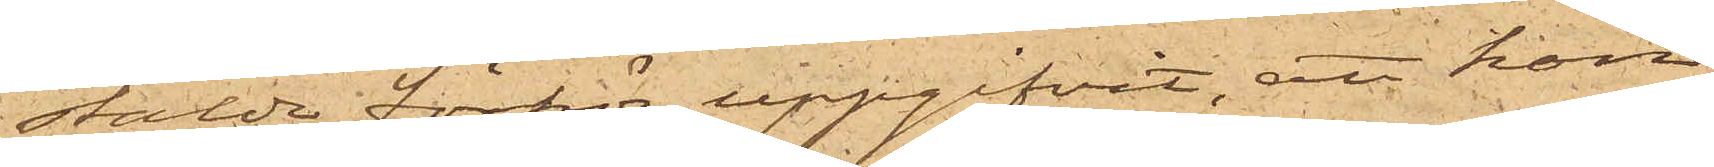stälde förhör uppgifvit, att hon
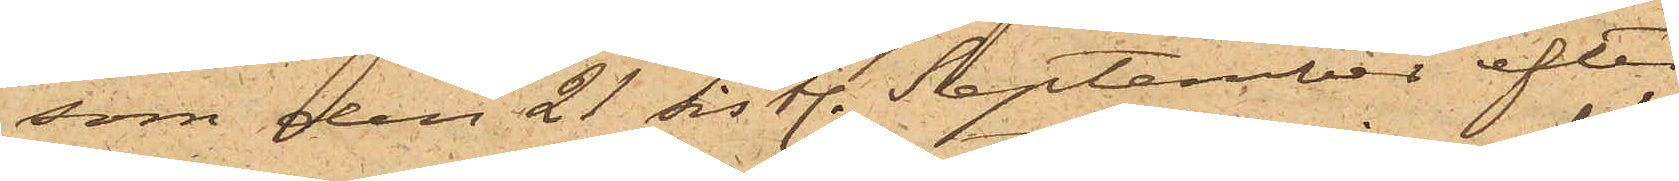som den 21 sistl. September efter
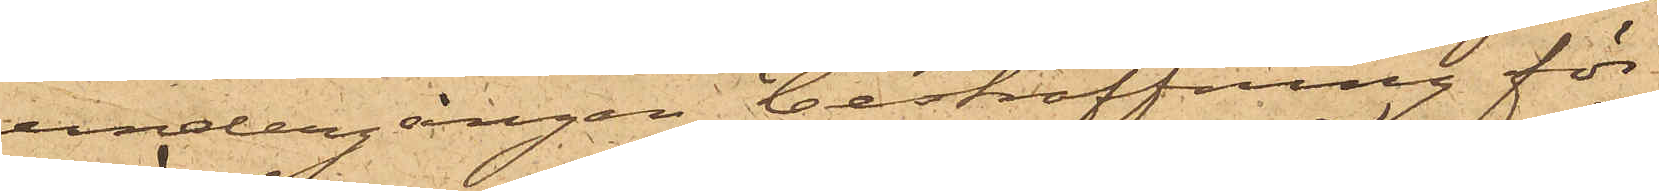undergången bestraffning för
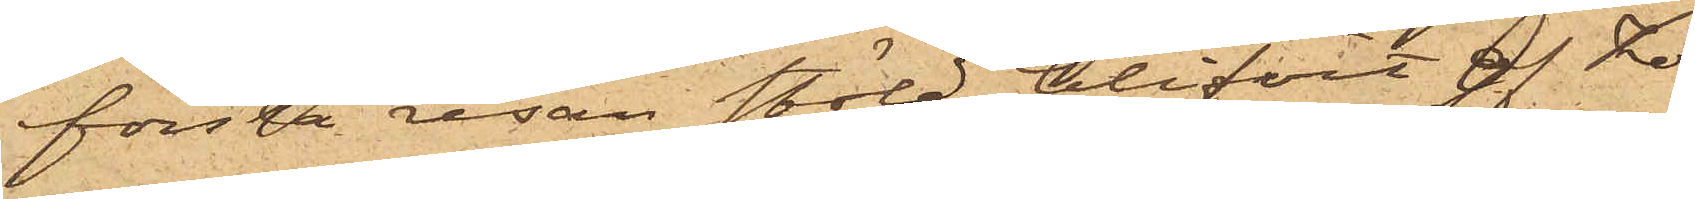första resan stöld blifvit af Ko¬
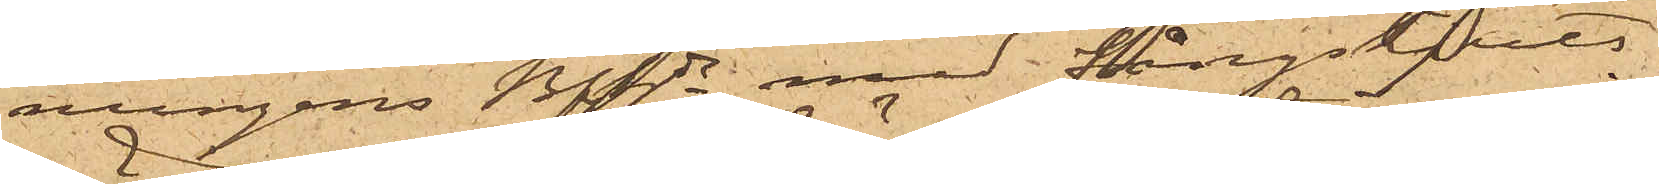nungens Bfhde med fångskjuts
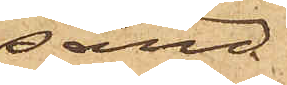sänd
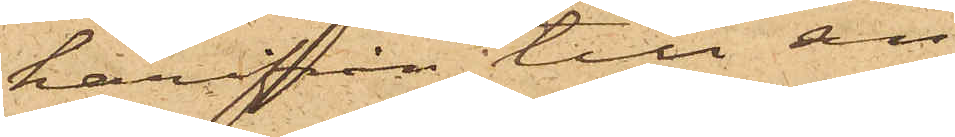härifrån till sin
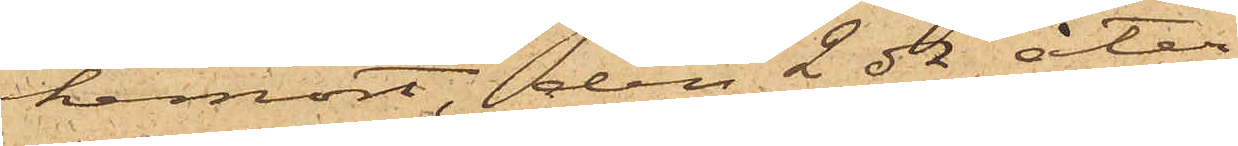hemort, den 2 ds åter¬
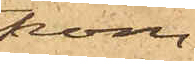kom¬
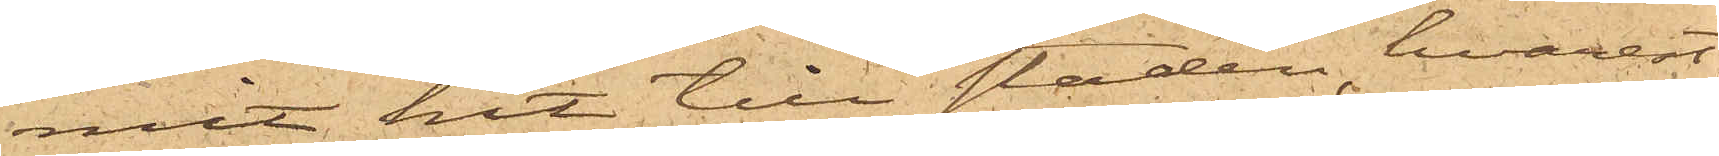mit hit till staden, hvarest
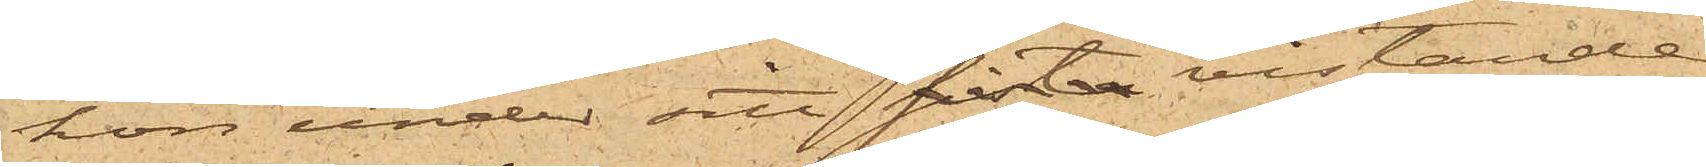hon under sitt sista vistande
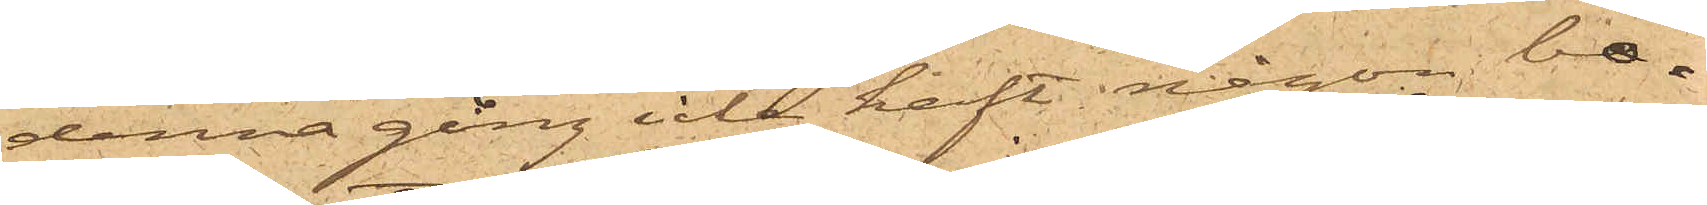denna gång icke haft någon bo¬
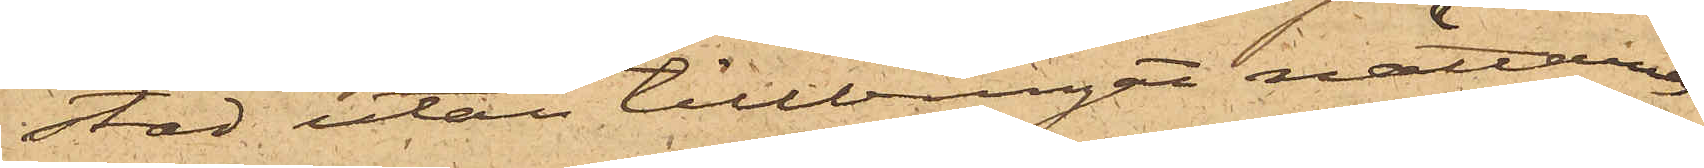stad utan tillbringat nätterna
